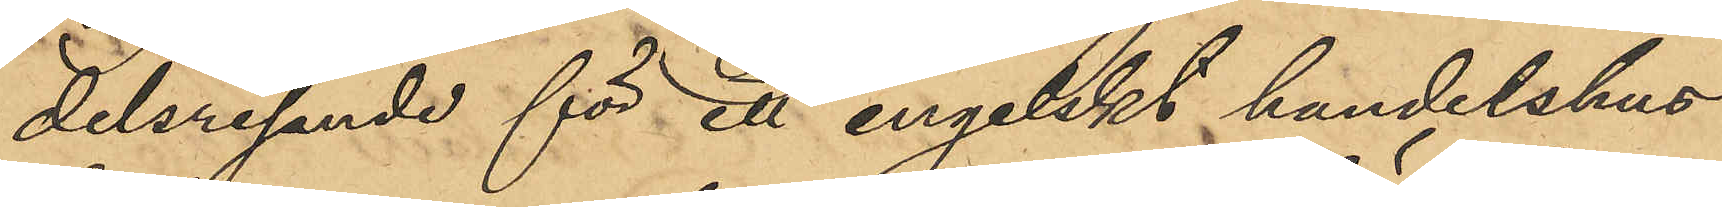delsresande för ett engelskt handelshus
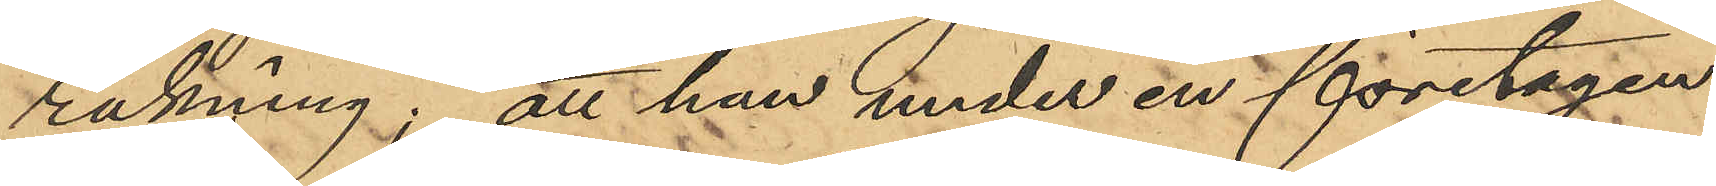räkning; att han under en företagen
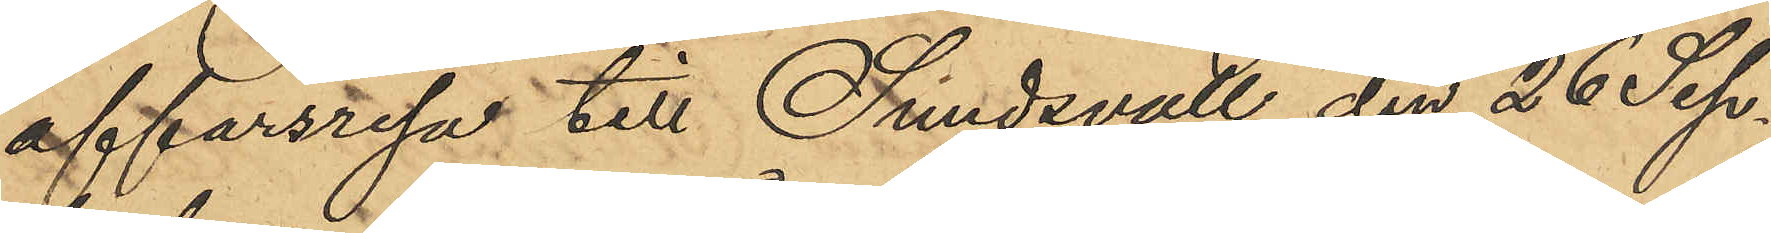affarsresa till Sundsvall den 26 Sep¬
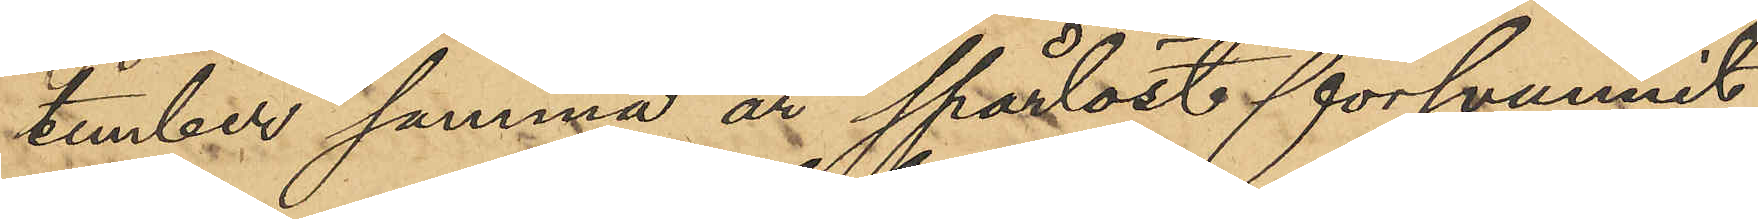tember samma år spårlöst försvunnit
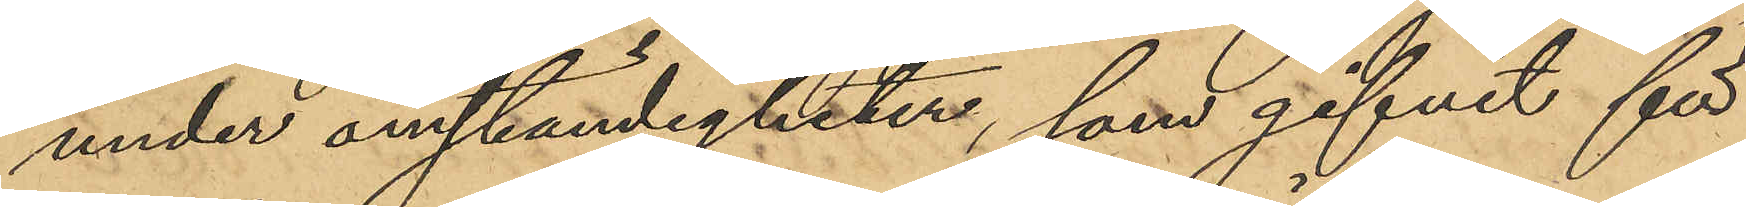under omständigheter, som gifvit för
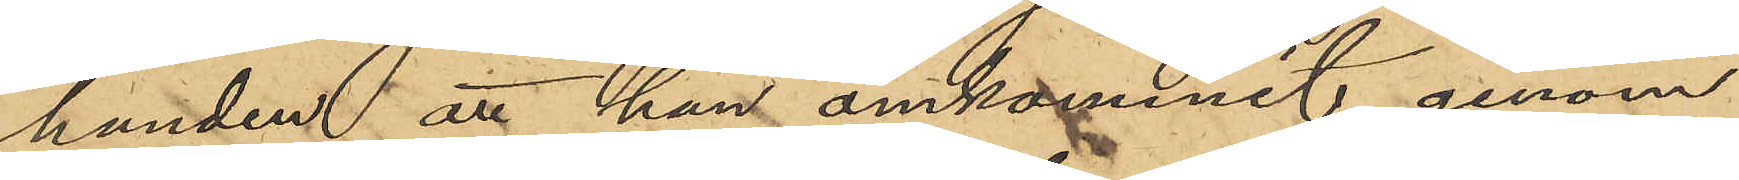handen; att han omkommit genom
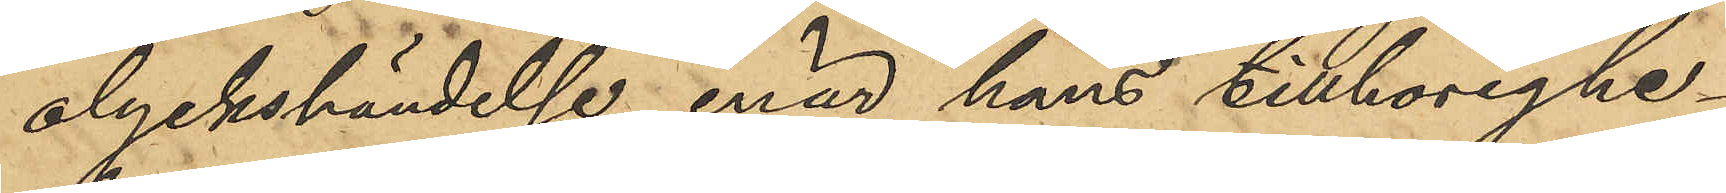olyckshändelse, enär hans tillhörighe¬
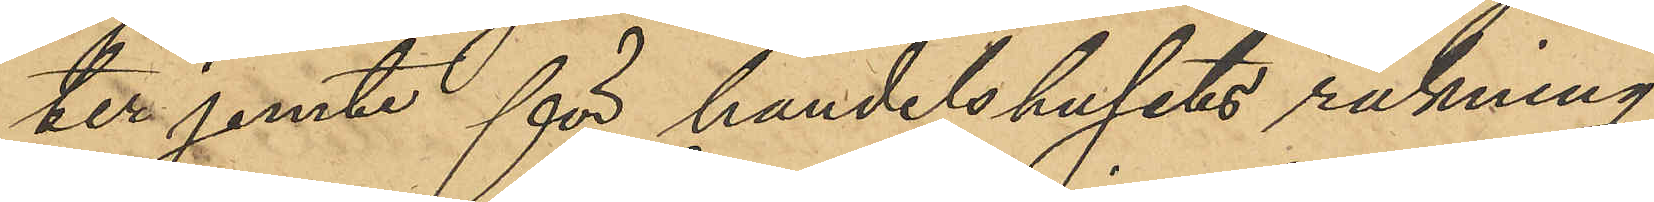ter jemte för handelshusets räkning
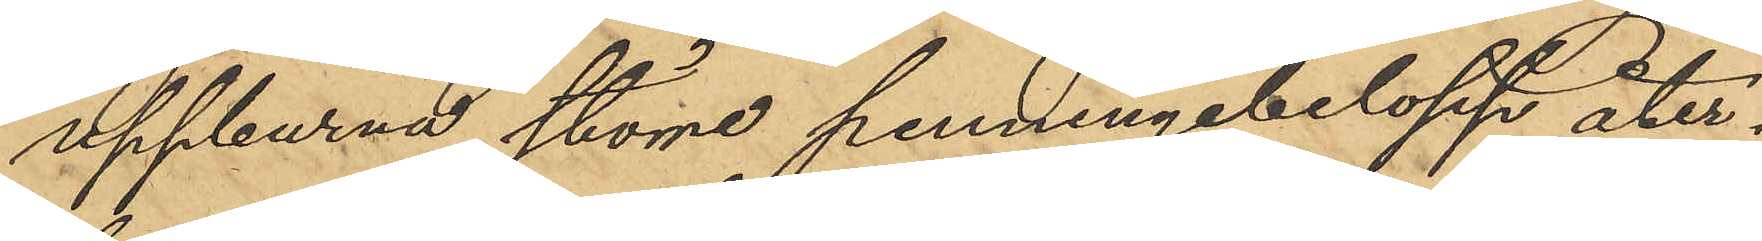uppburna större penningbelopp åter¬
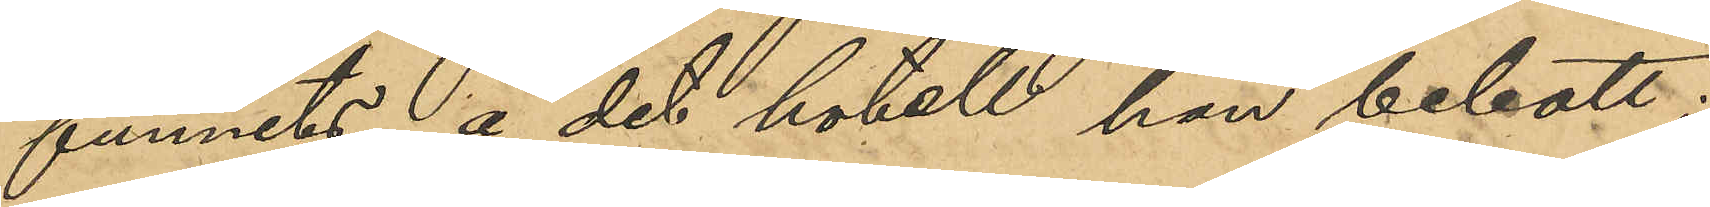funnits å det hotell han bebott;
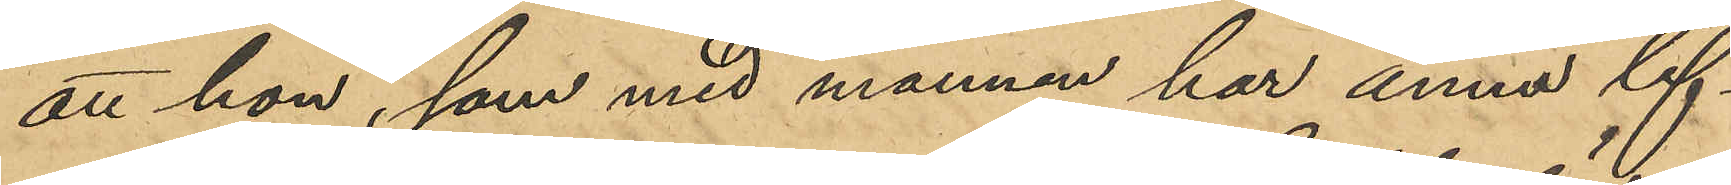att hon, som med mannen har ännu lef¬
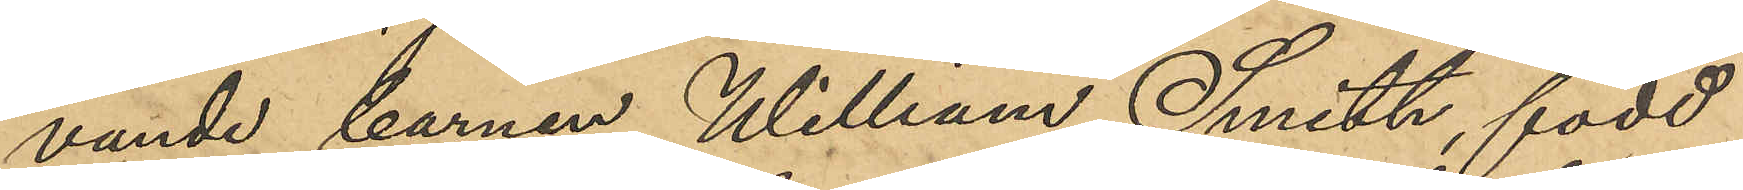vande barnen William Smith, född
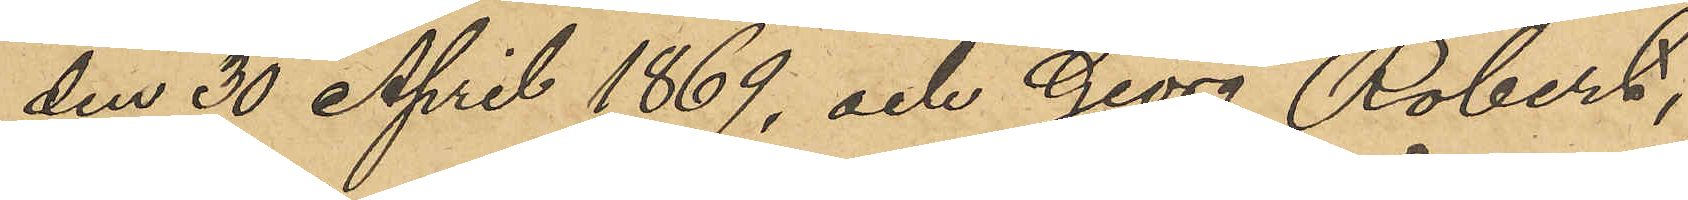den 30 April 1869, och Georg Robert,
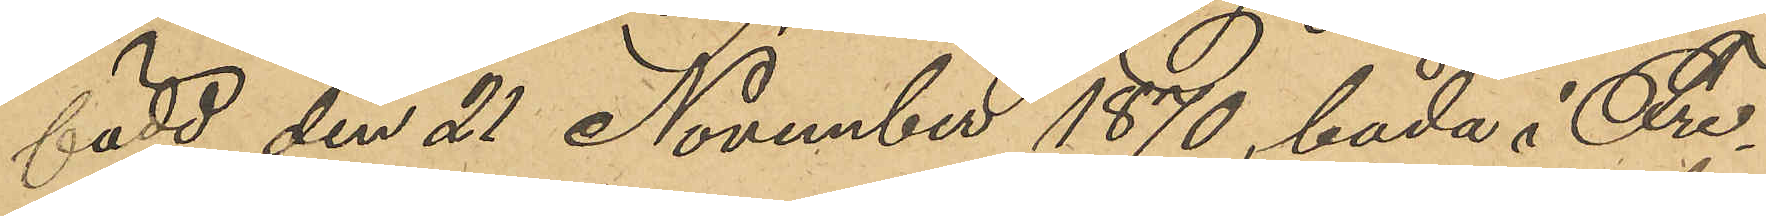född den 21 November 1870, båda i Fre¬
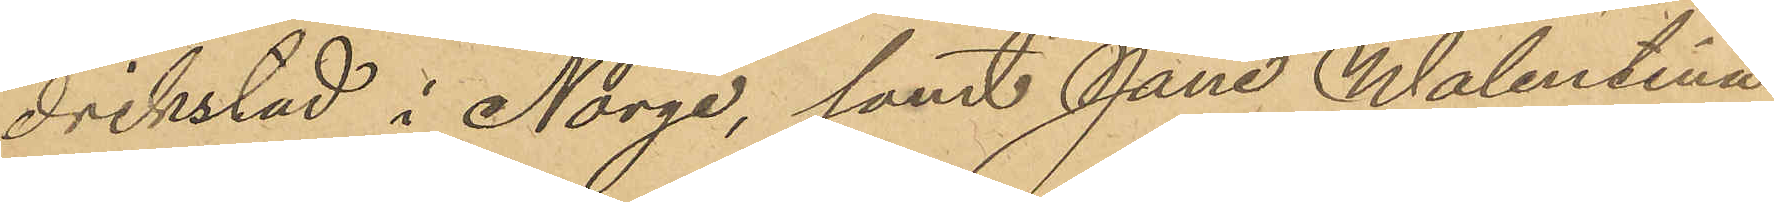drikstad i Norge, samt Jane Walentina
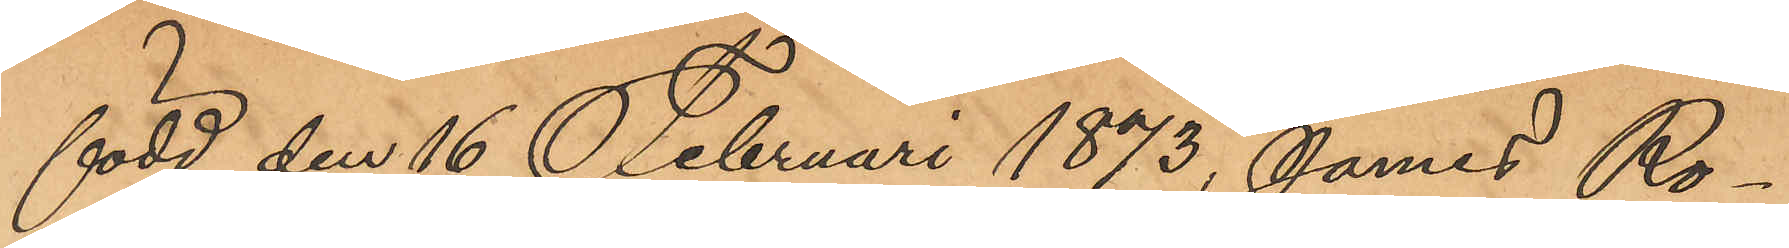född den 16 Februari 1873, James Ro¬
